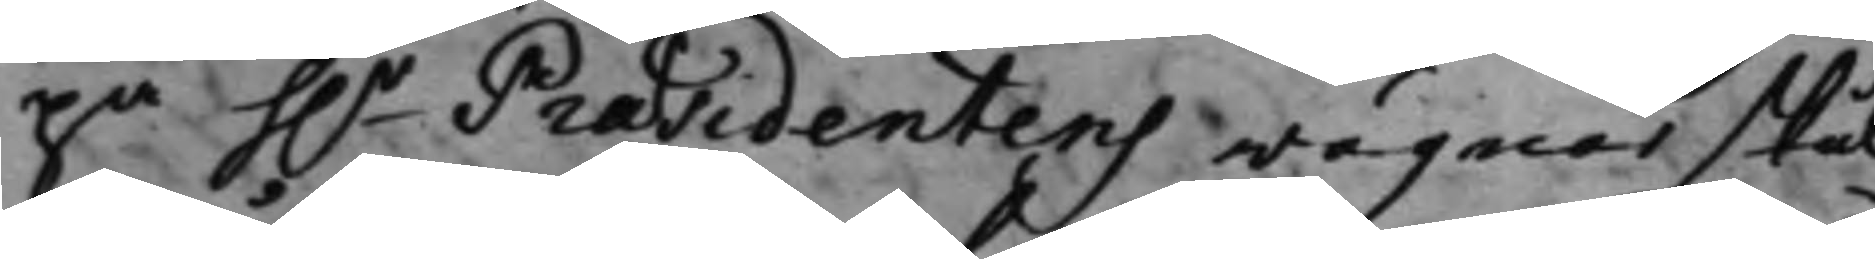på h.r Præsidentens wägnar skul¬
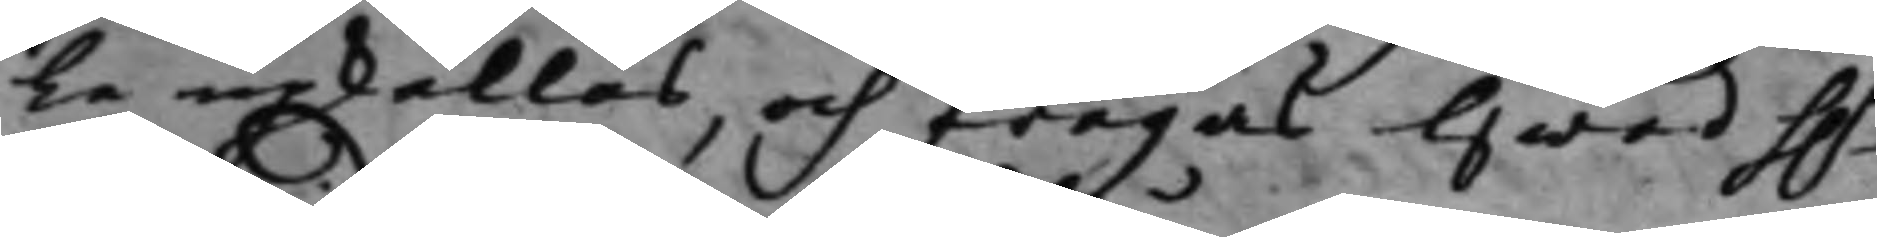le upkallas, och frågas Hwad h.r
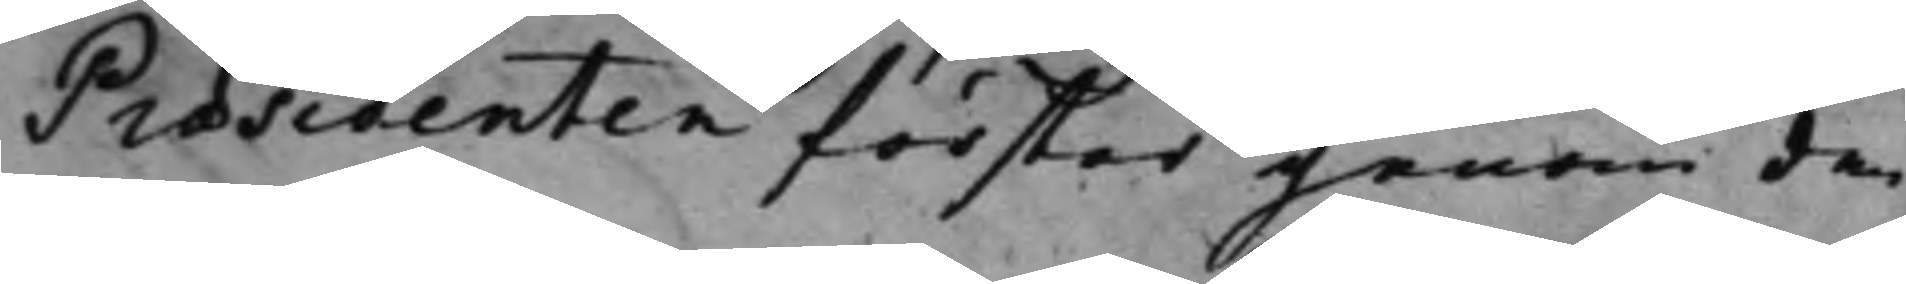Præsidenten förstår genom den
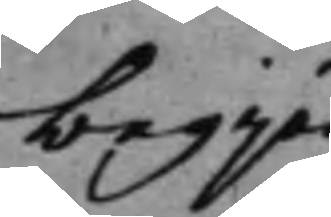begjär¬
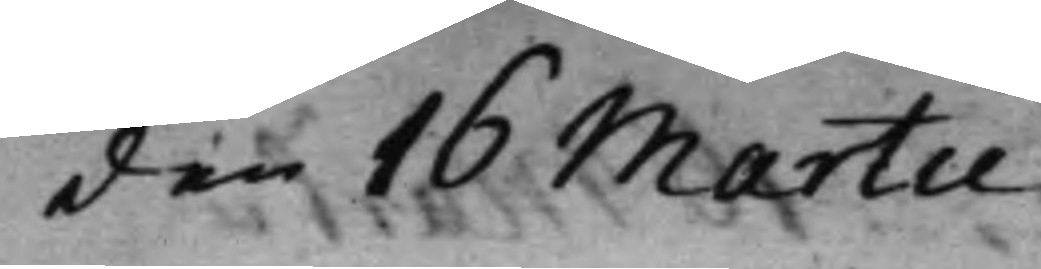den 16 Martii
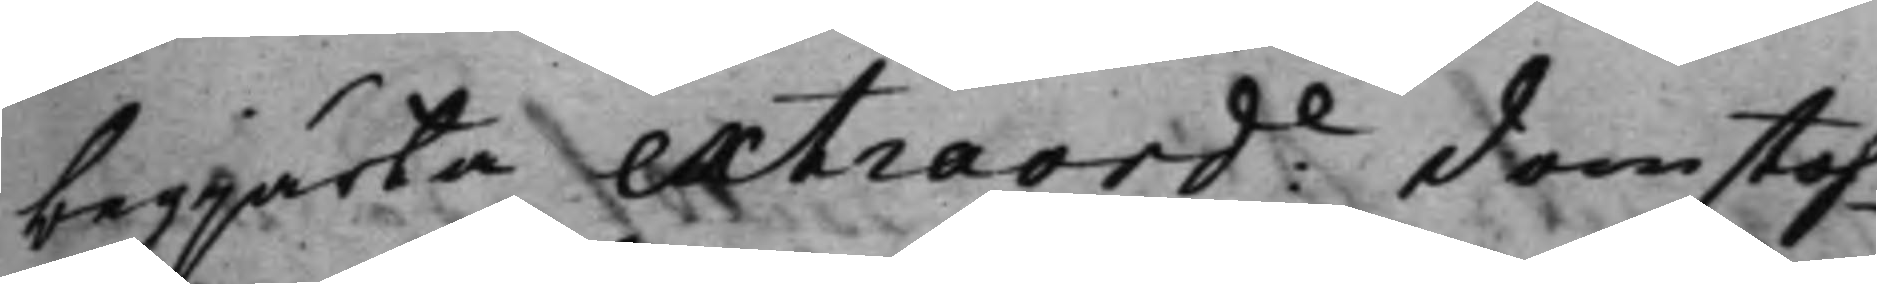begjärta extraord:e domstoh¬
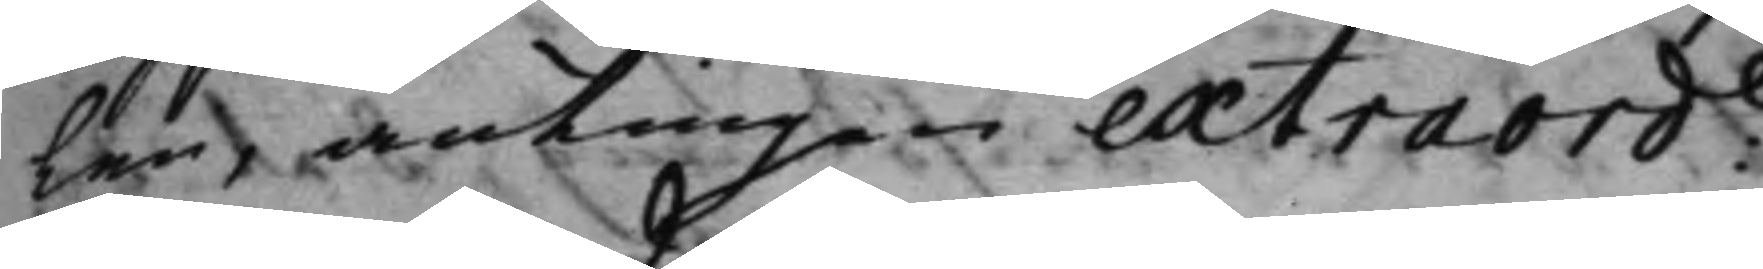len, antingen extraord:e
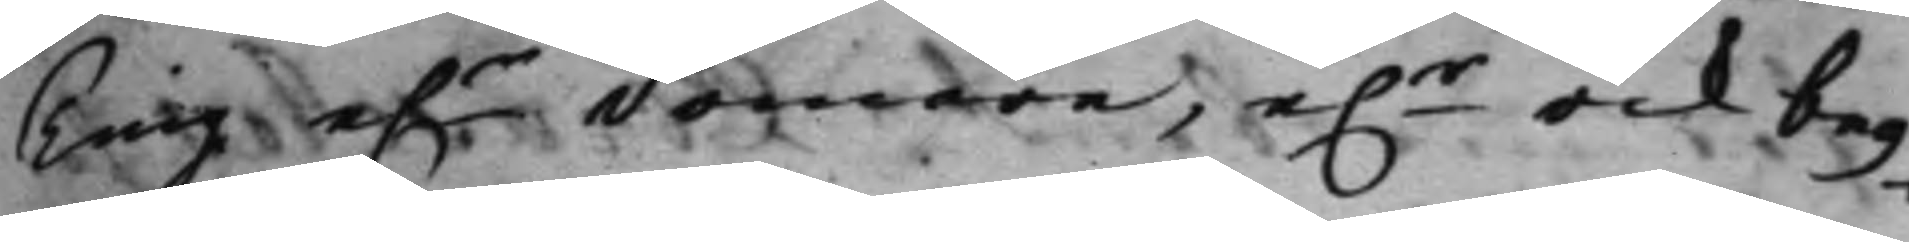Ting e.r domare, e.r ock beg¬
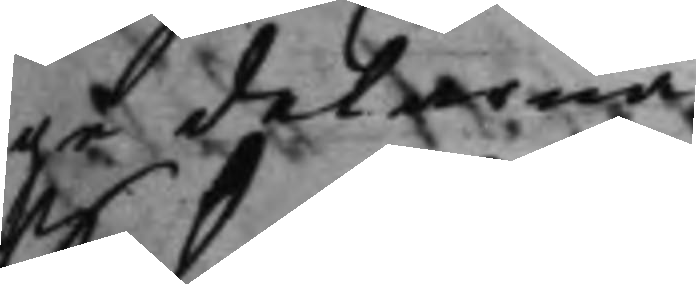ga delerna.
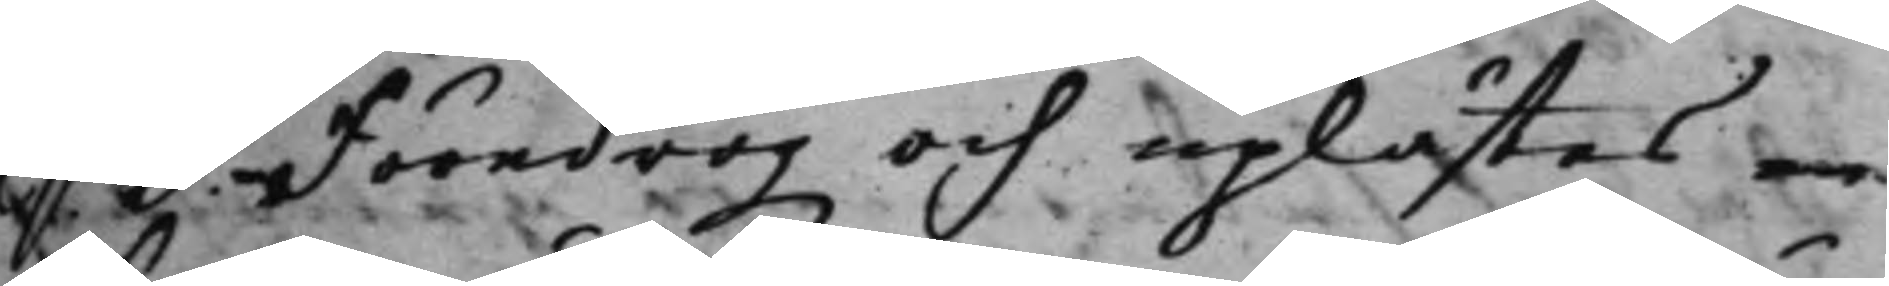S. d. Föredrogz och uplästes en
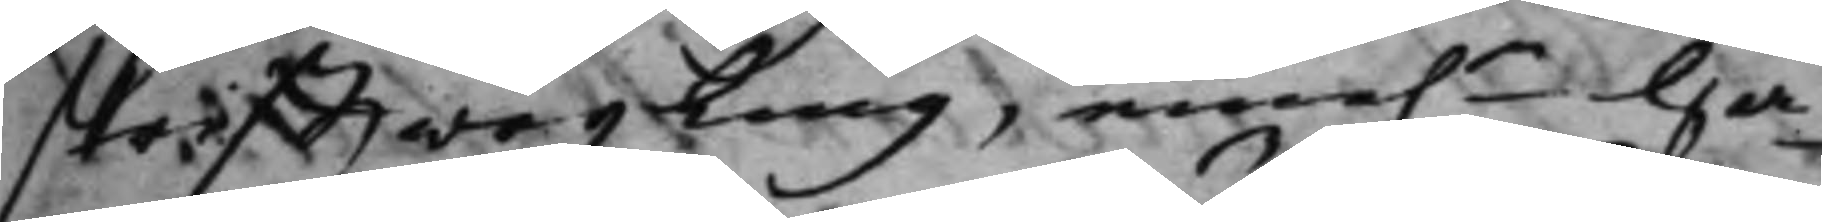skrifftwäxling, eme.n Hä¬
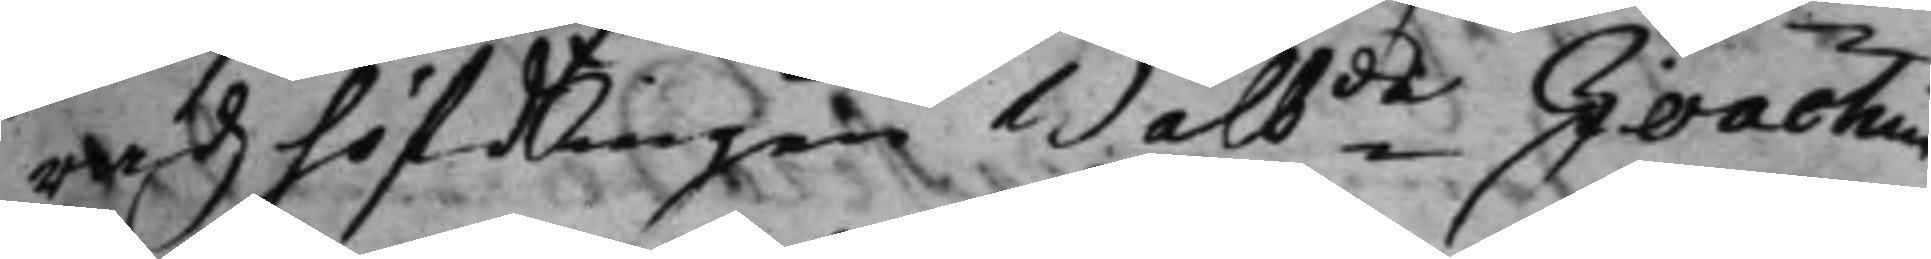radz höfdingen Wälb.de Joachim
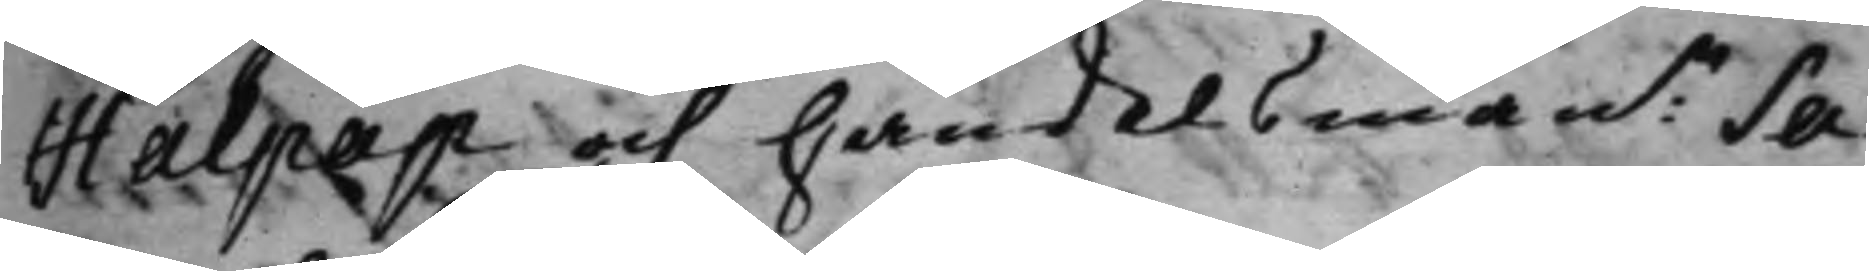Halpap och handelsman:n Sa¬
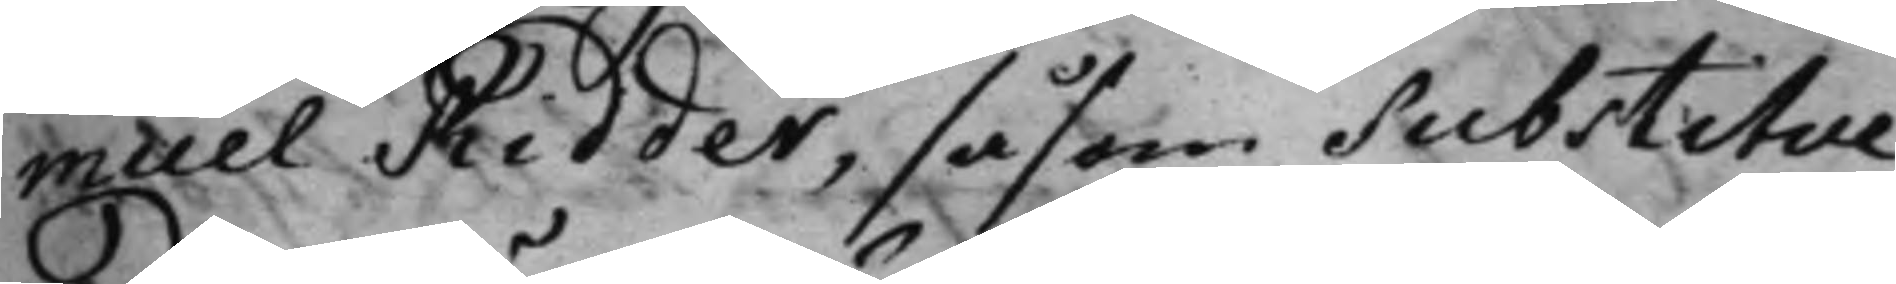muel Ridder, såsom Substitue¬
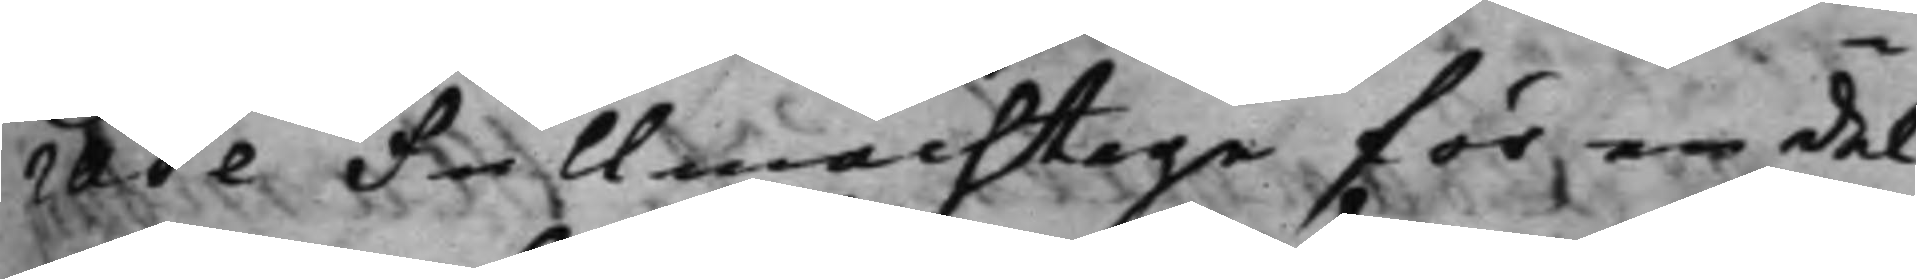rade Fullmächtige för en del
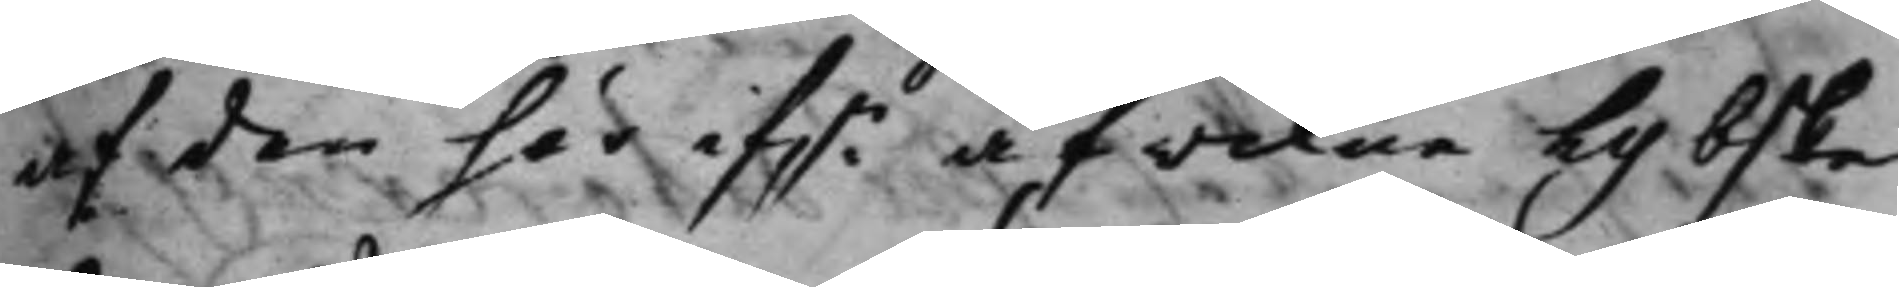af den här ifn afwikne Lybske
